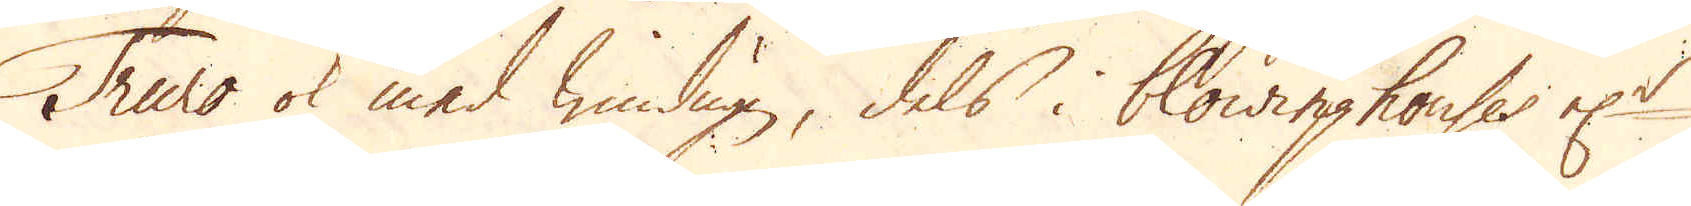Truro ok med windugn, dels i blowinghouses el:r
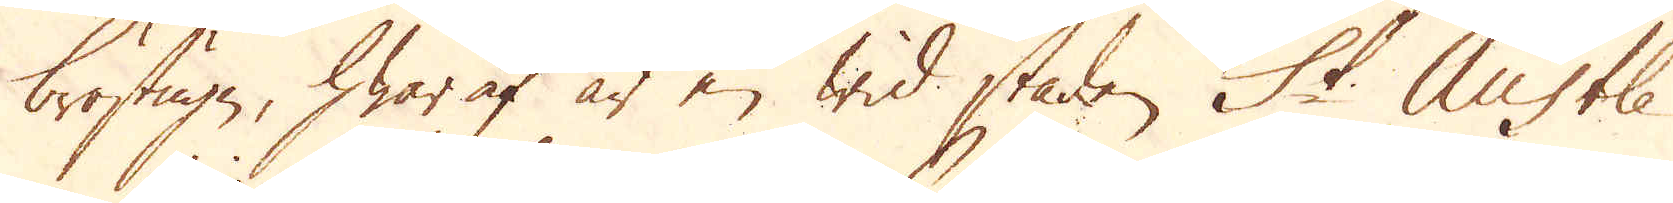bröstugn, hwar af är en wid staden St Austle
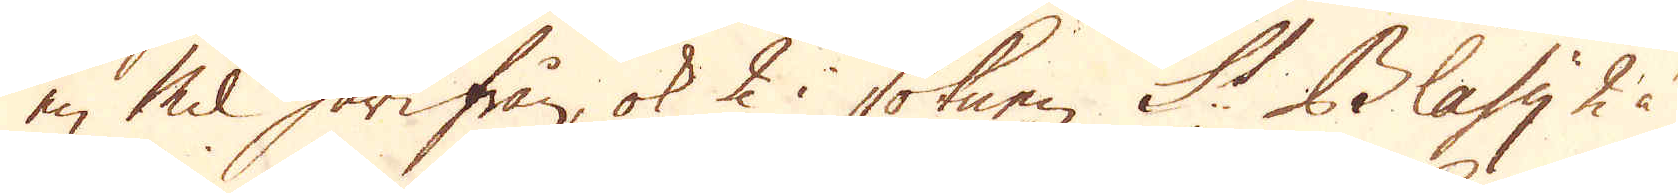en Mil härifrån, ok 2 i soknen St Blasy 2 à
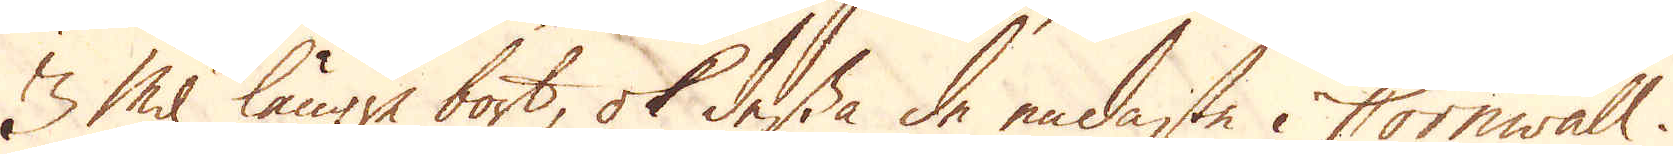3 Mil längre bort, ok dessa de endaste i Cornwall.
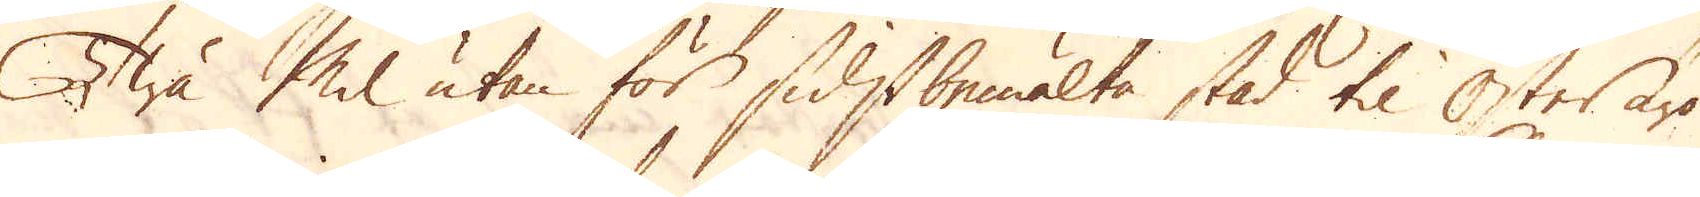Twå Mil utan för sidstbemälte stad til Öster äro
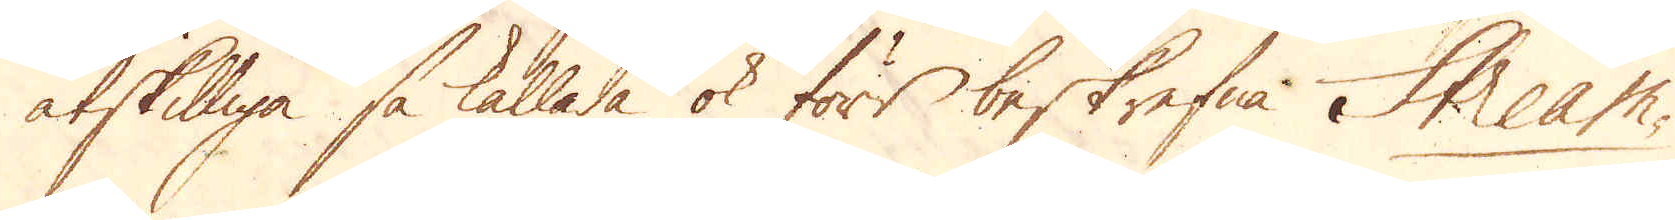åtskilliga så kallade ok förr beskrefna Stream-
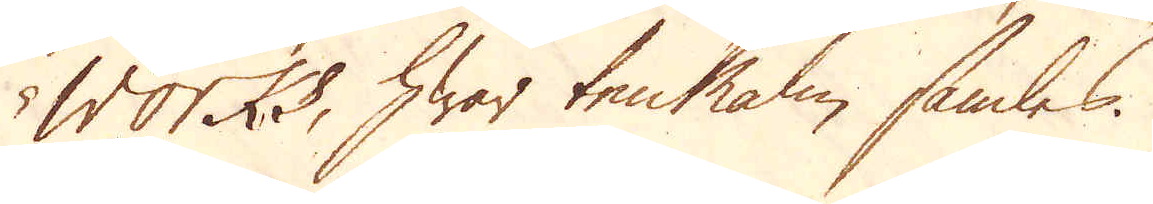works, hwar tenMalm samles.
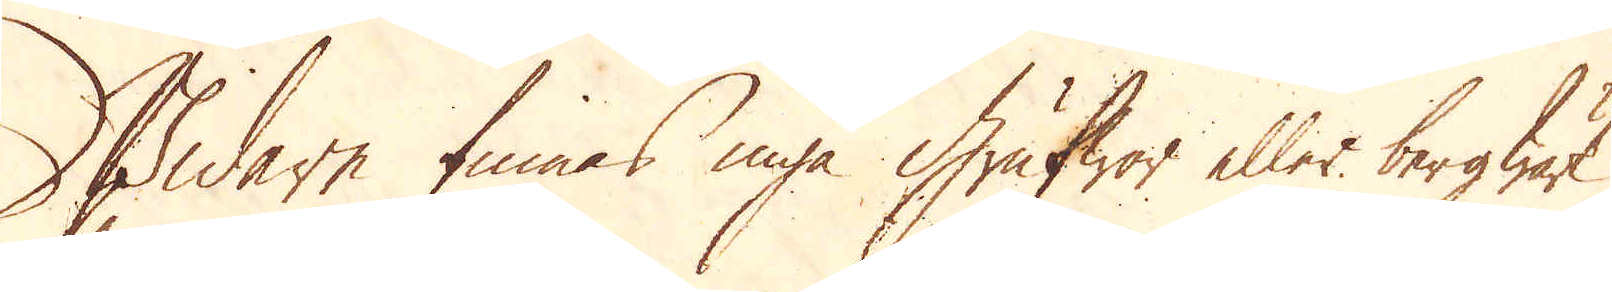Widare finnes inga Grufwor eller bergwärk
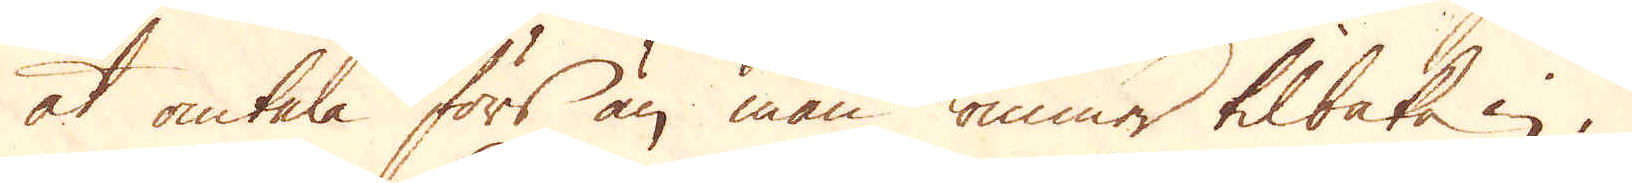at omtala förs än man kommer tilbaka in i
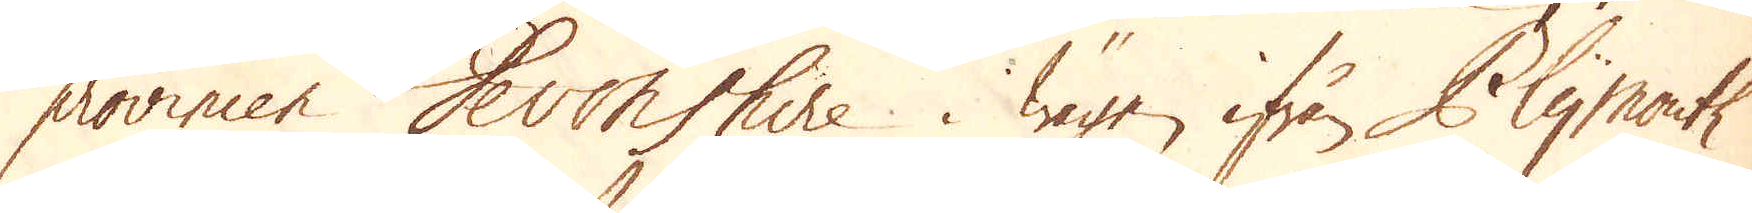provincen Devonshire. Wägen ifrån Plymouth
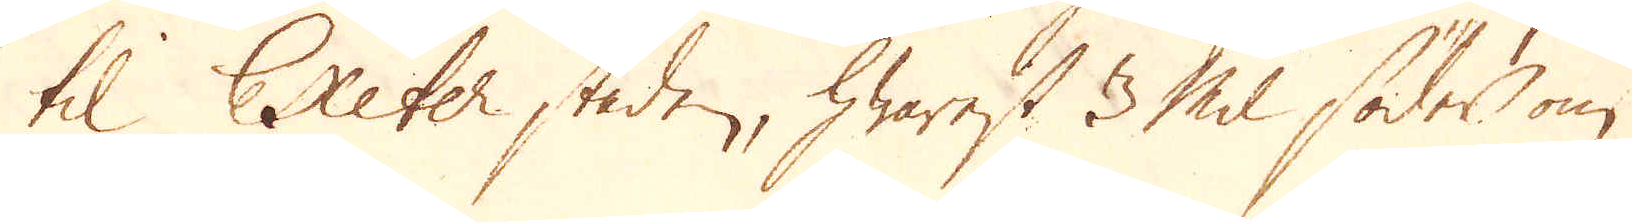til Exeter staden, hwarest 3 Mil söder, om
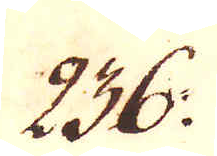236.
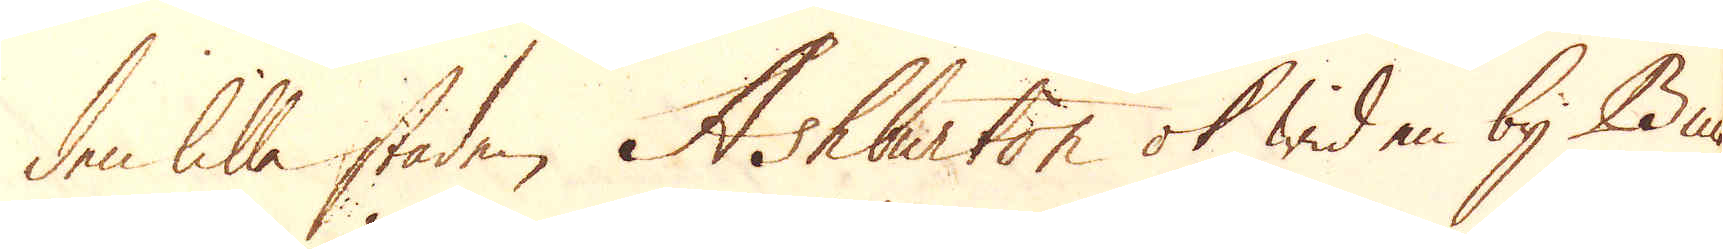den lilla staden Ashburton ok wid en by Bu-
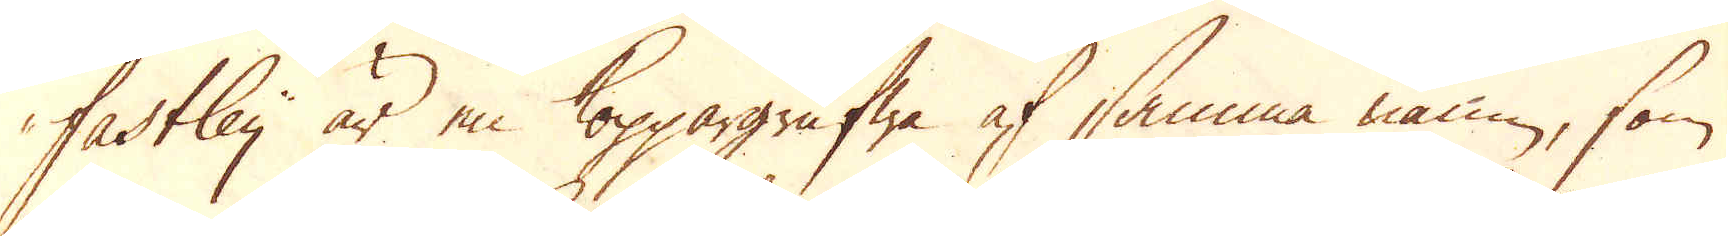fastley är en Koppargrufwa af samma namn, som
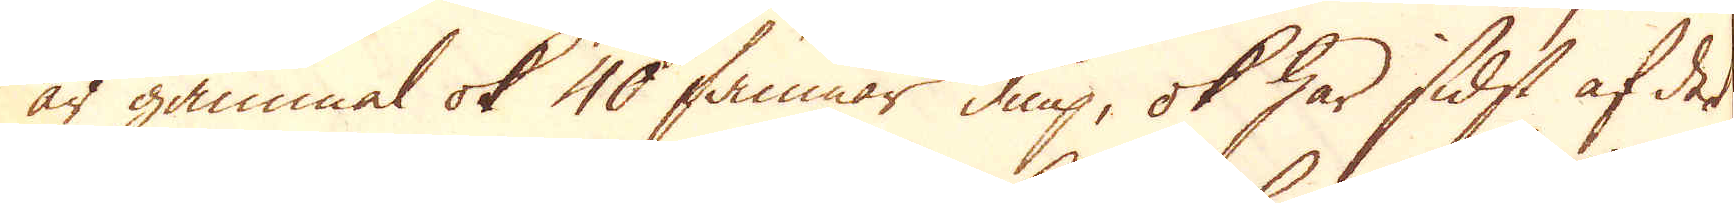är gammal ok 40 famnar diup, ok har sidst af det
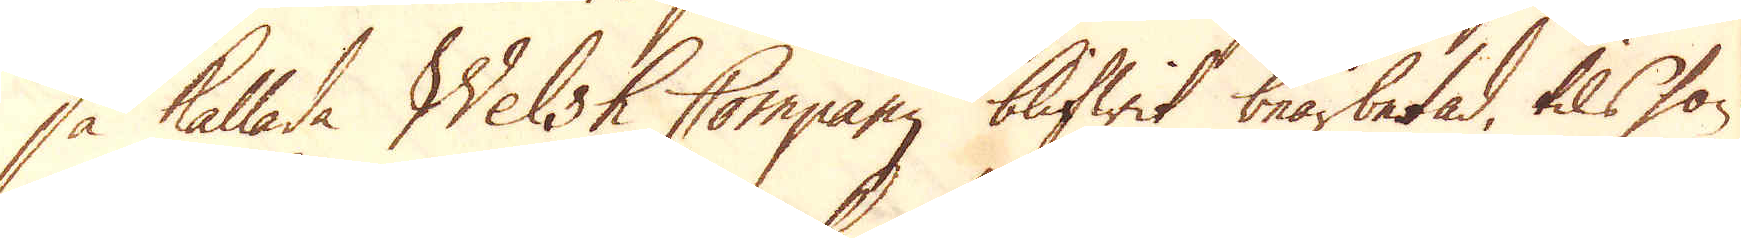så kallade Welsh Company blifwit bearbetad, tils hon
